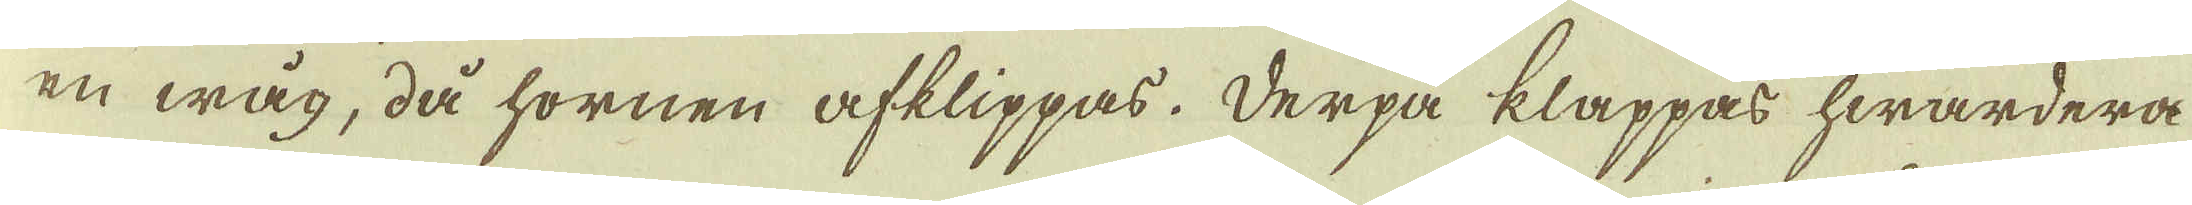en wåg, då hornen afklippas. Derpå klappas hwardera
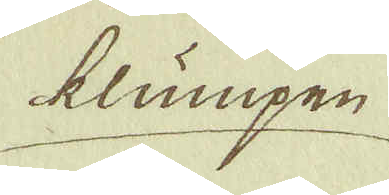klumpen
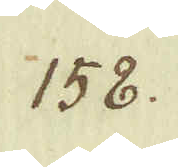158.
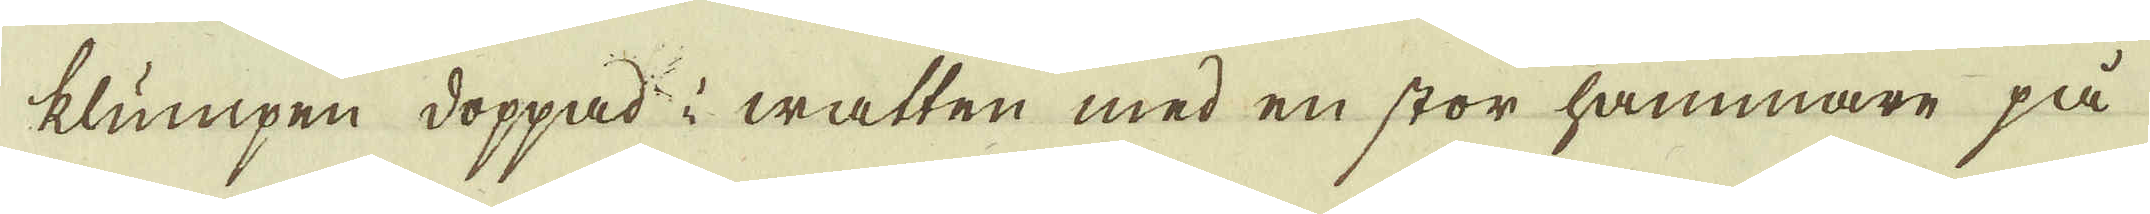klumpen doppad i watten med en stor hammare på
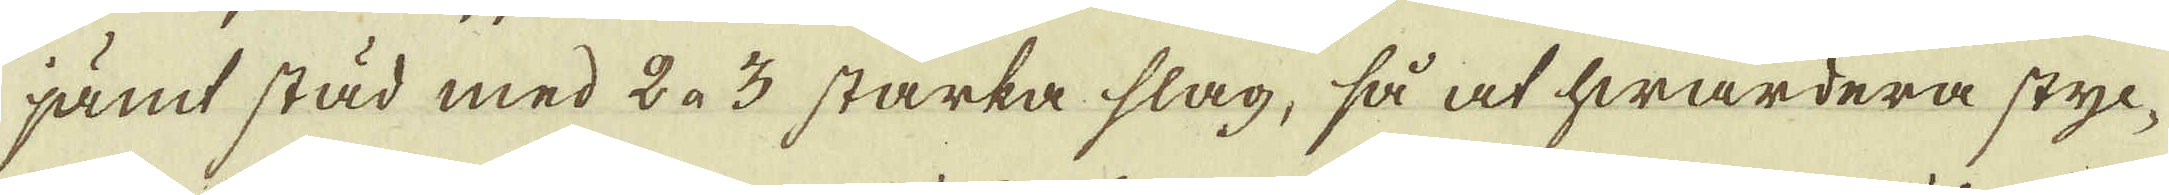jämt städ med 2 à 3 starka slag, så at hwardera styc-
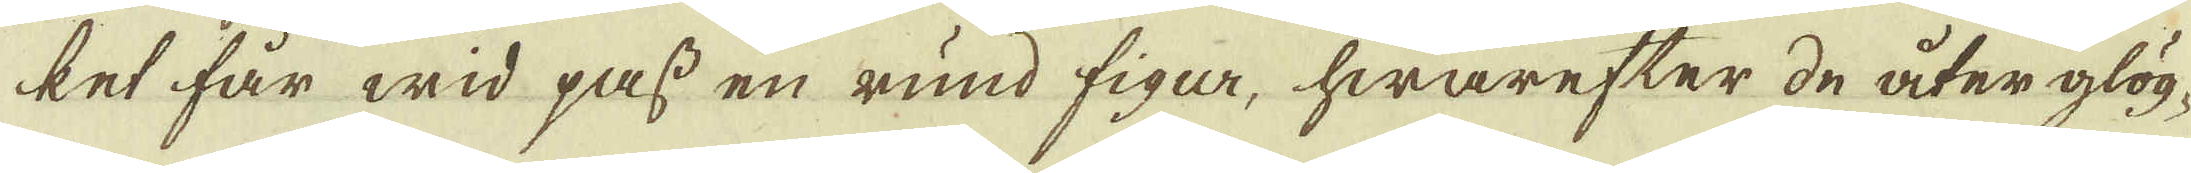ket får wid pass en rund figa, hwarefter de åter glög-
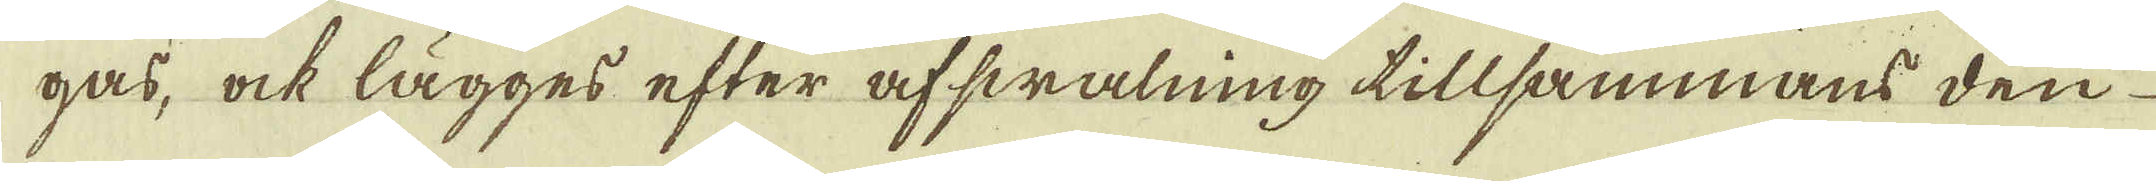gas, ock lägges efter afswalning tillsammans den
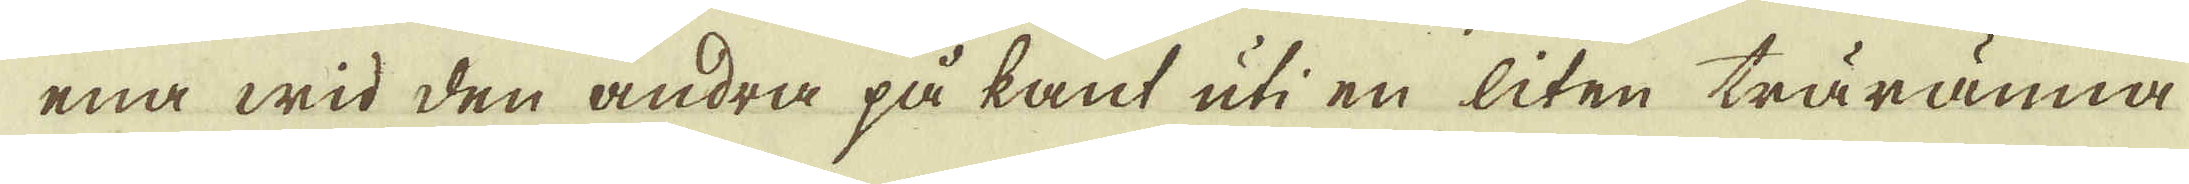ena wid den andra på kant uti en liten träränna
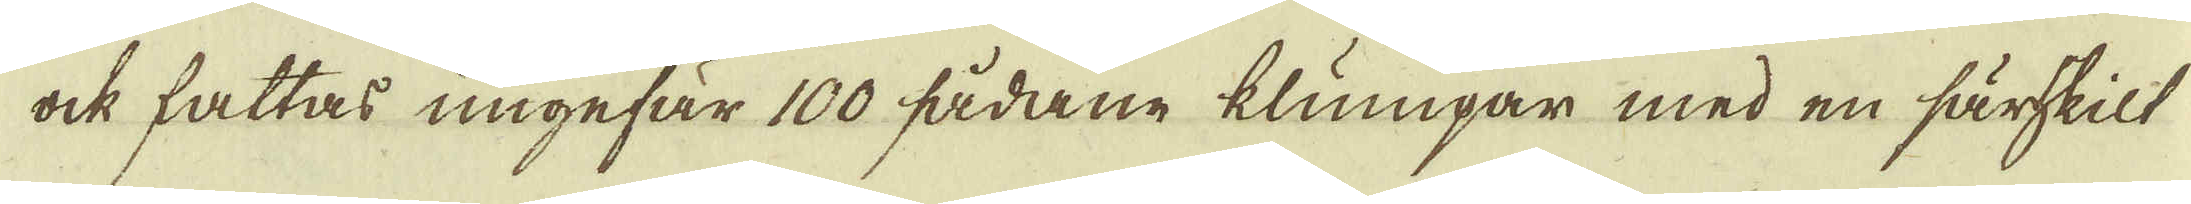ock fattas ungefär 100 sådane klumpar med en särskilt
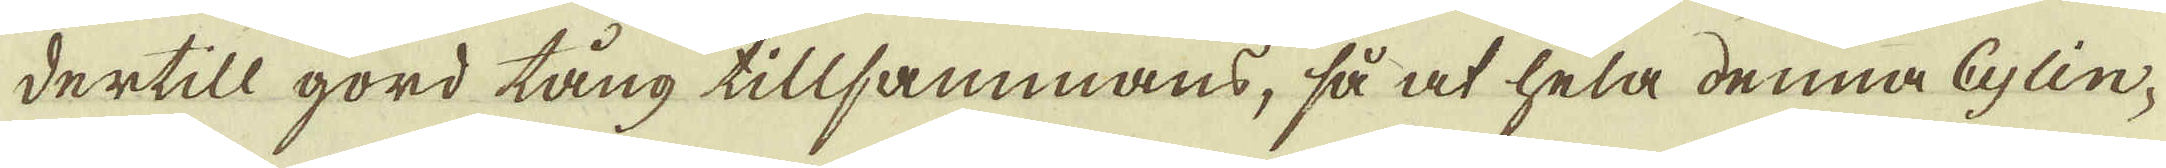dertill gord tång tillsammans, så at hela denna Cylin-
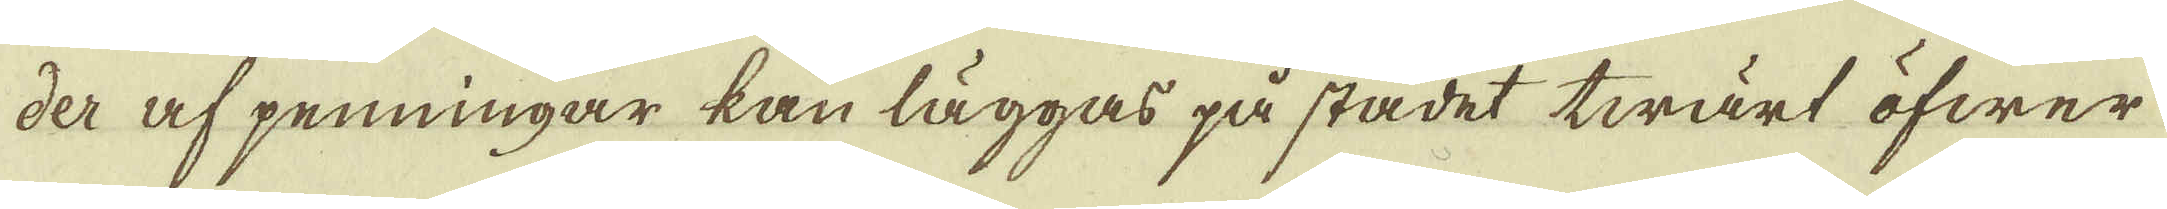der af penningar kan läggas på stadet twärt öfwer
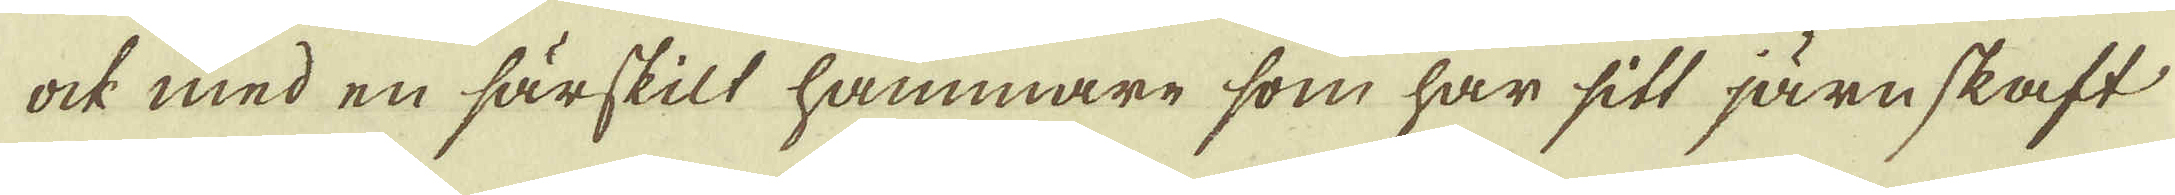ock med en särskilt hammare som har sitt järnskaft
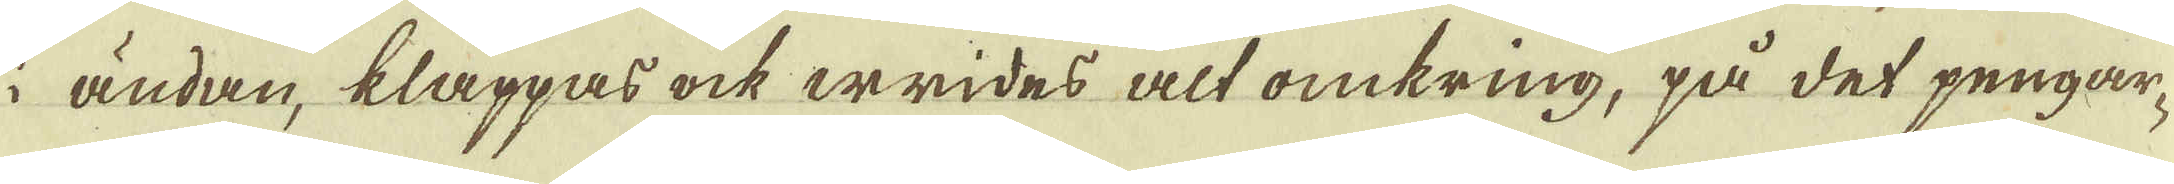i ändan, klappas ock wrides alt omkring, på det pengar-
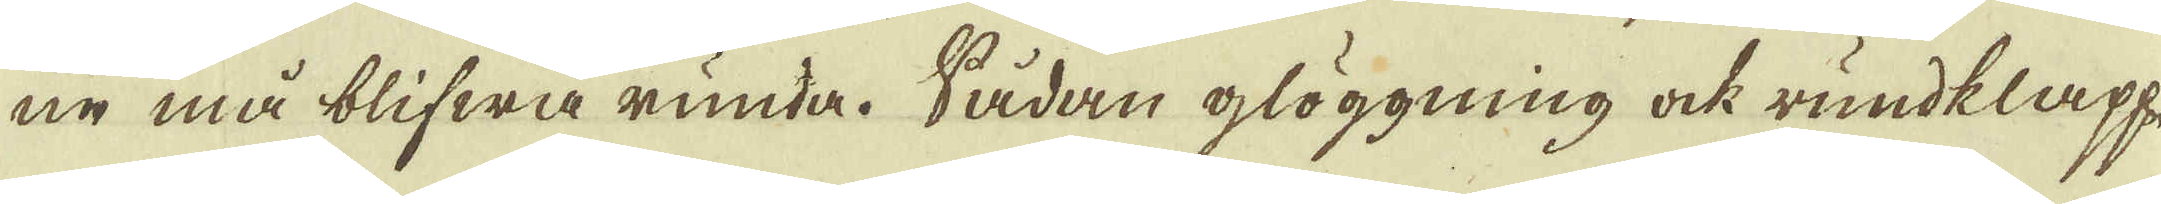ne må blifwa runda. Sådan glöggning ock rundklapp,
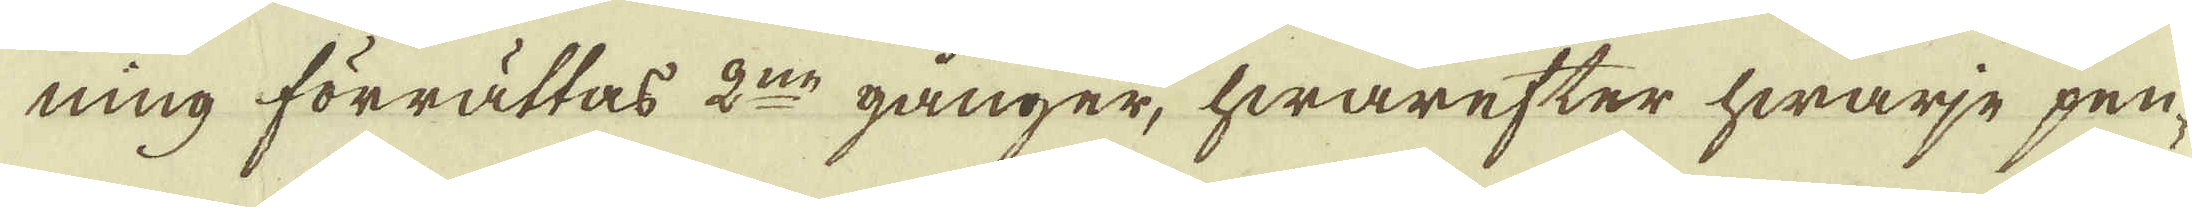ning förrättas 2:ne gånger, hwarefter hwarje pen-
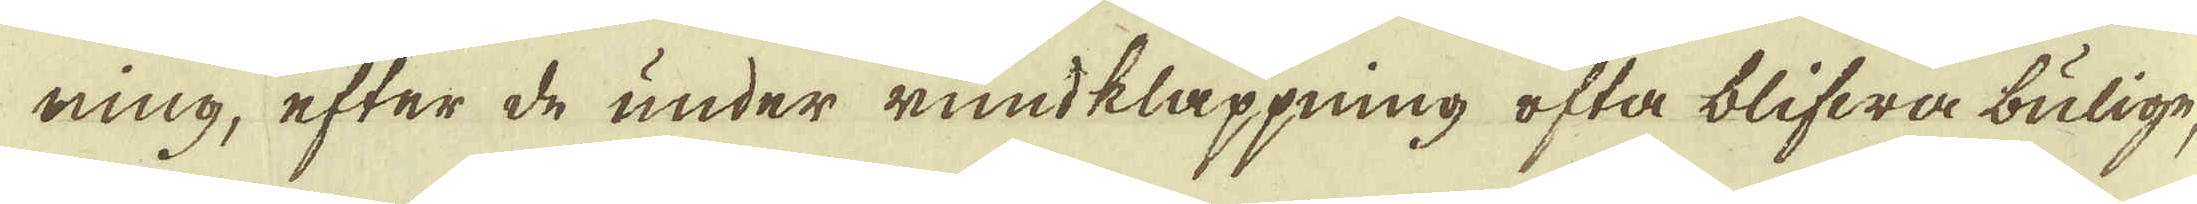ning, efter de under rundklappning ofta blifwa bulige,
